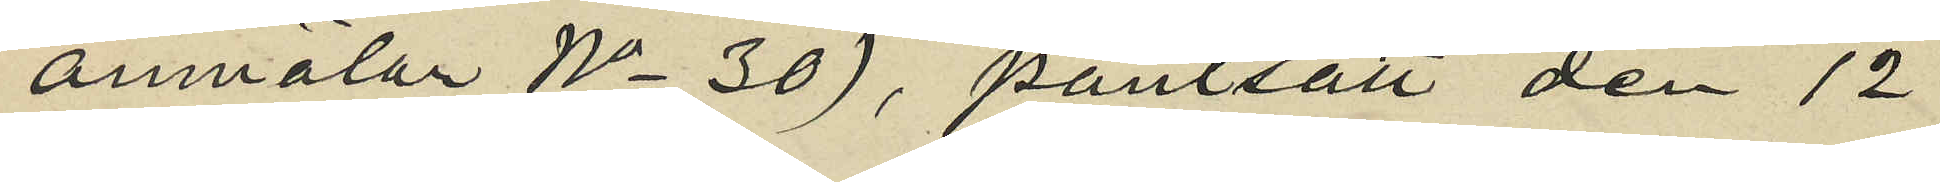anmälan No 30), pantsatt den 12
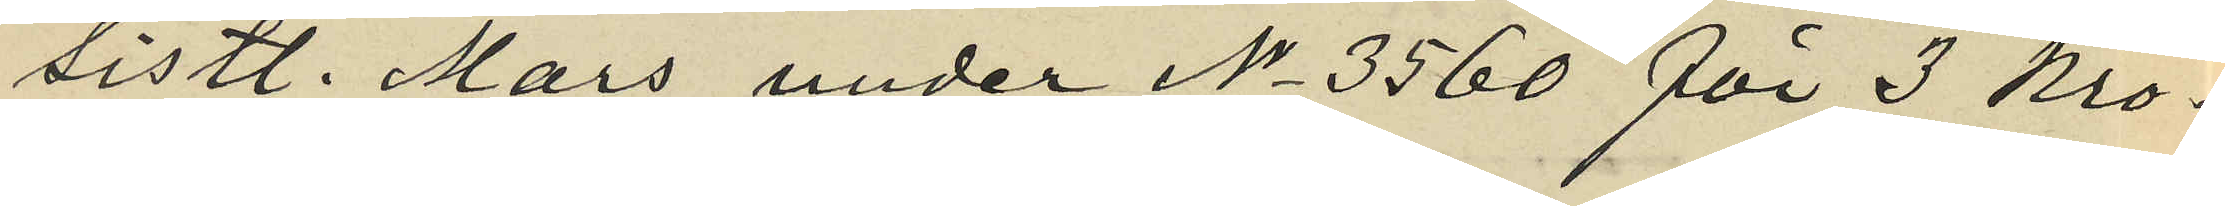sistl. Mars under No 3560 för 3 kro¬
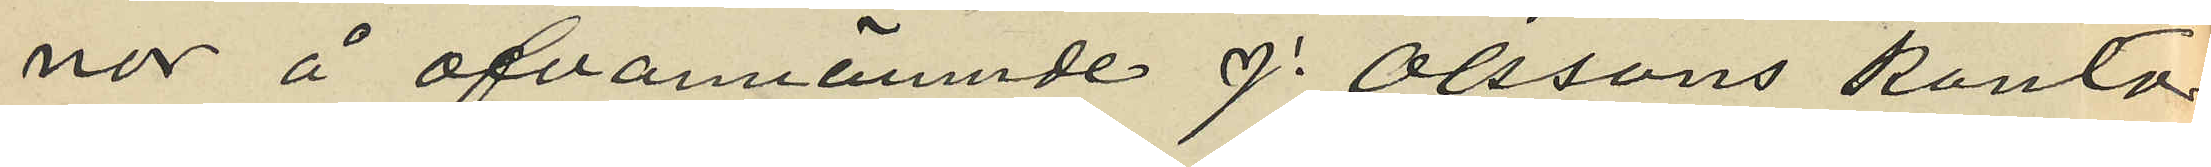nor å ofvannämnde J. Olssons kontor
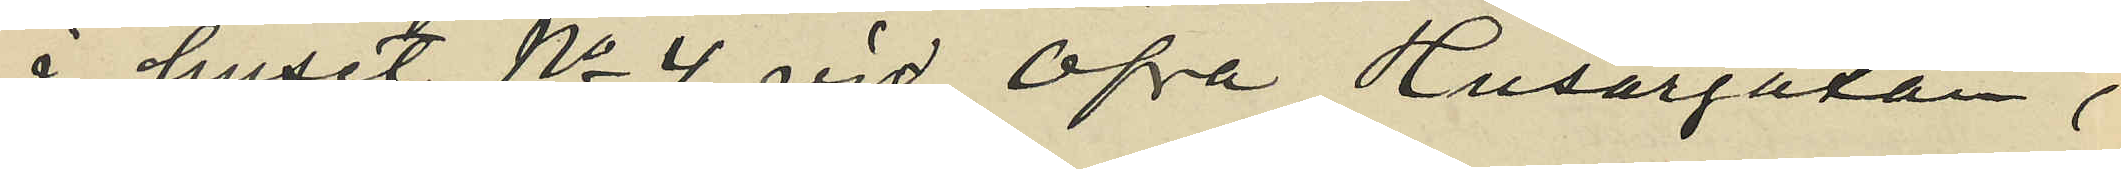i huset No 4 vid Öfra Husargatan,
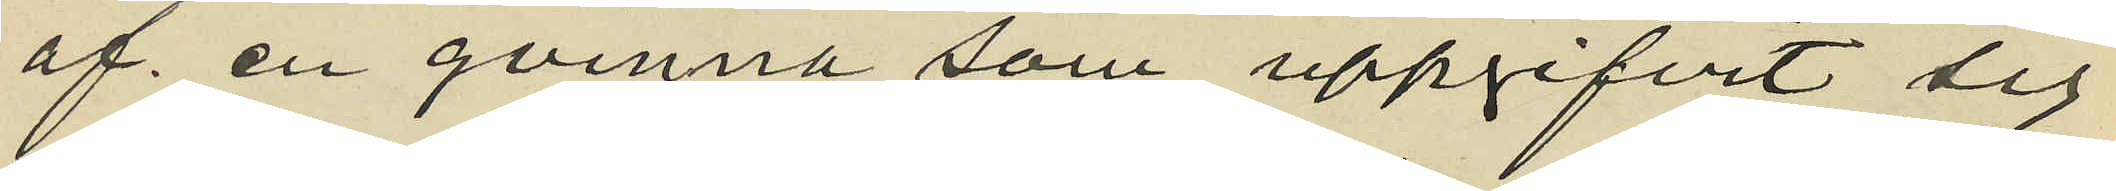af en qvinna som uppgifvit sig
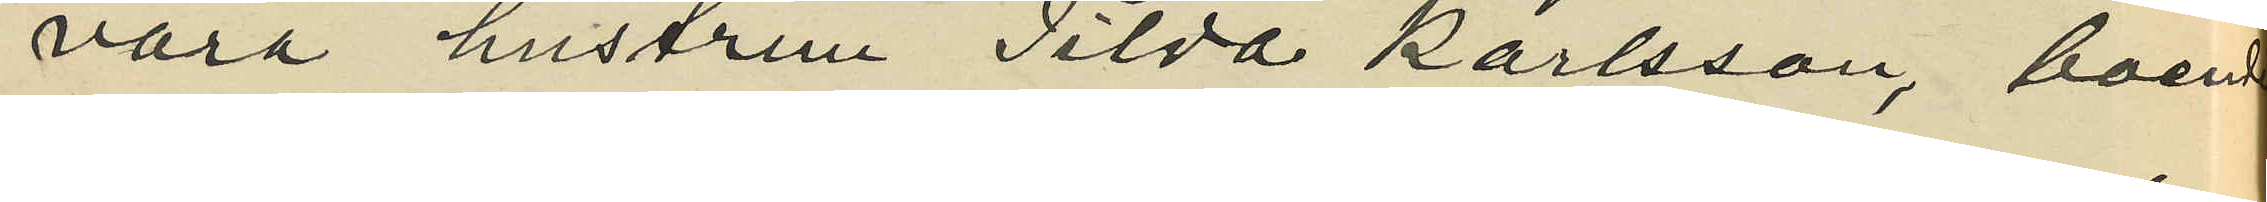vara hustrun Tilda Karlsson, boende
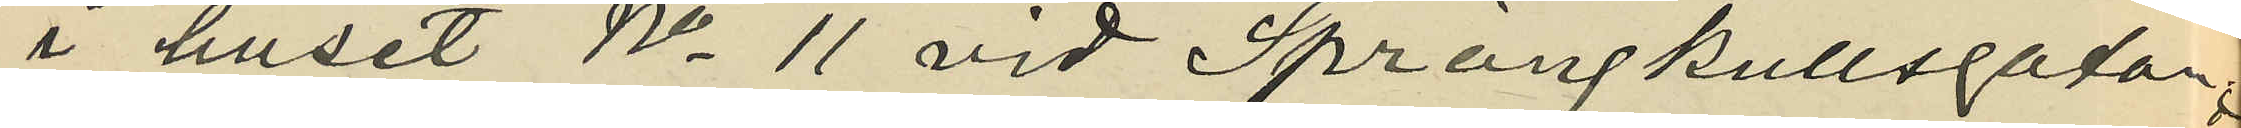i huset No 11 vid Sprängkullsgatan;
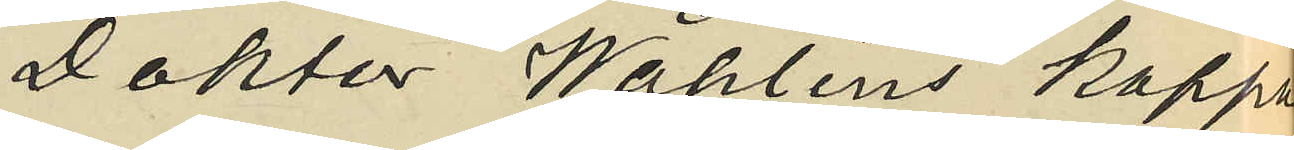Doktor Wåhlins kappa
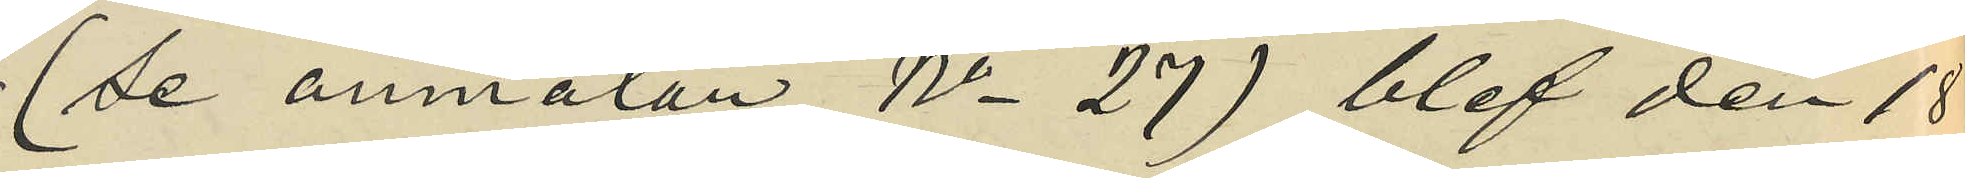(se anmälan No 27) blef den 18
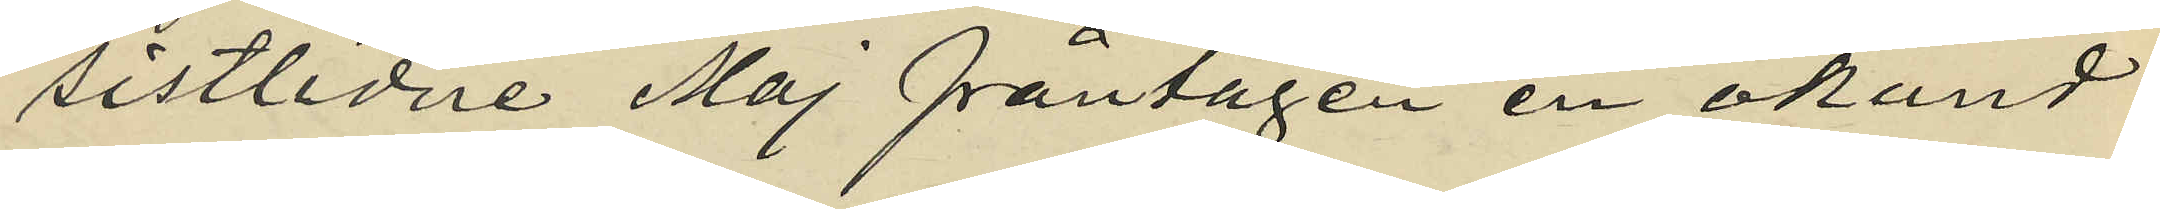sistlidne Maj fråntagen en okänd
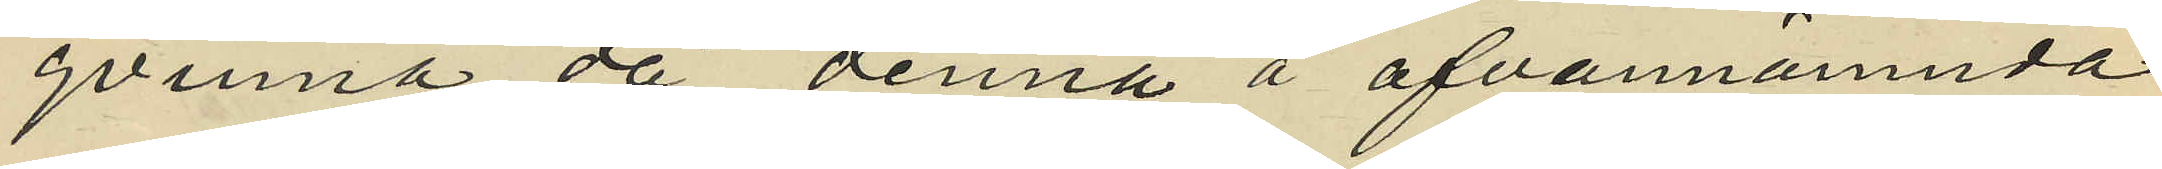qvinna då denna å ofvannämnda
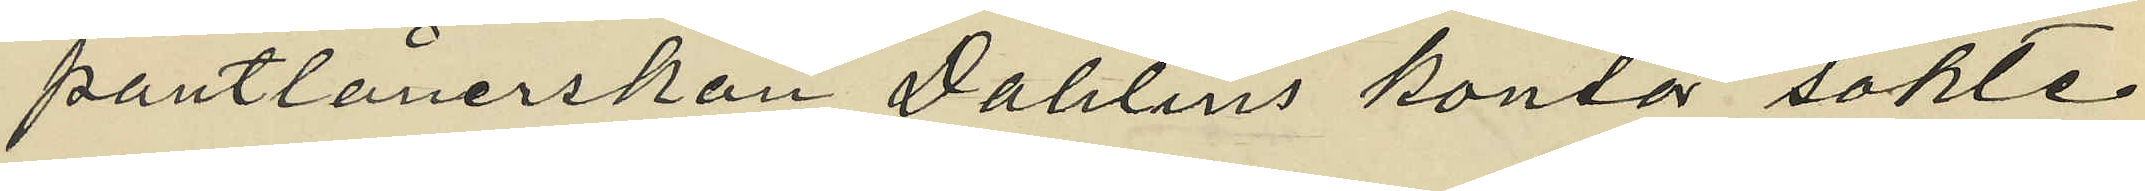pantlånerskan Dahlins kontor sökte
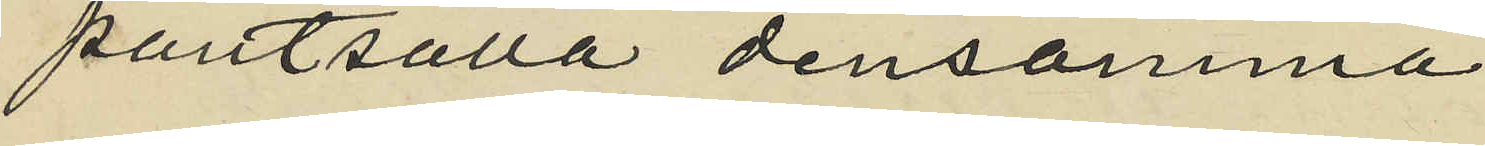pantsatta densamma.
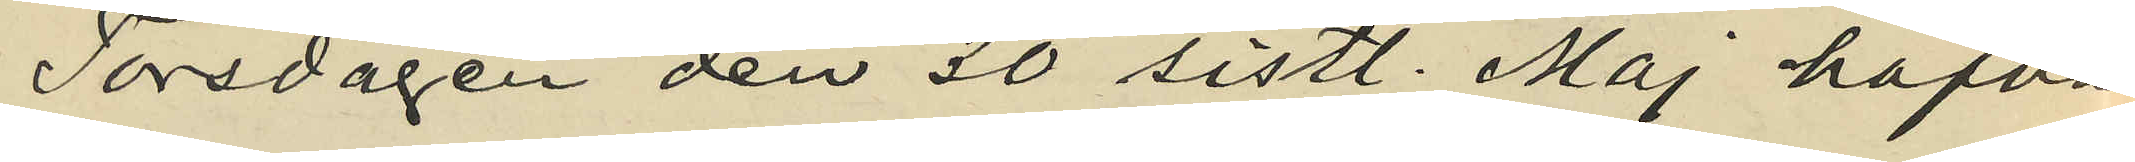Torsdagen den 30 sistl. Maj hafva
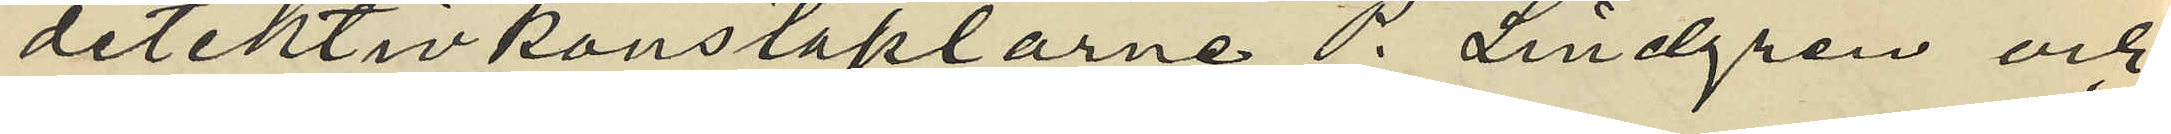detektivkonstaplarne P. Lindgren och
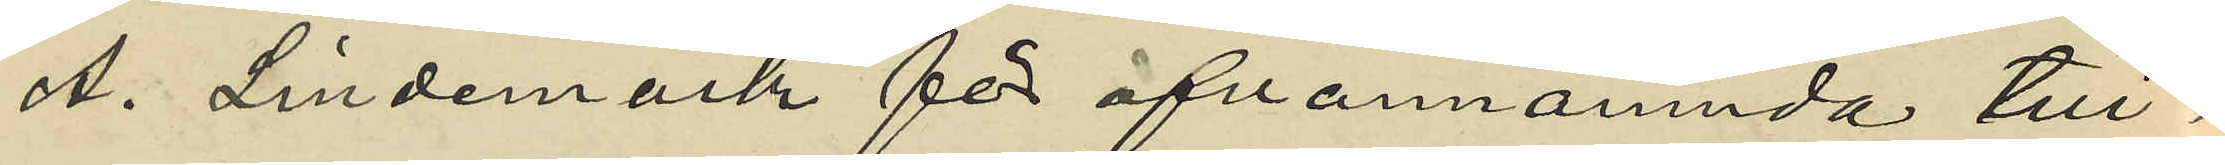A. Lindemark för ofvannämnda till¬
